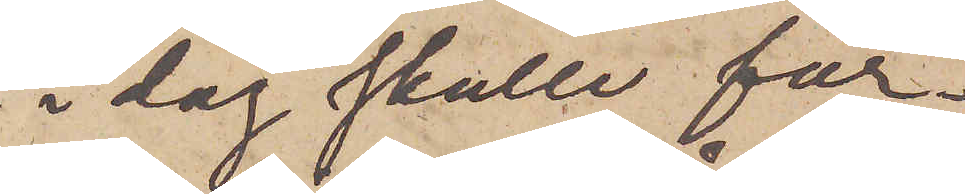i dag skulle för¬
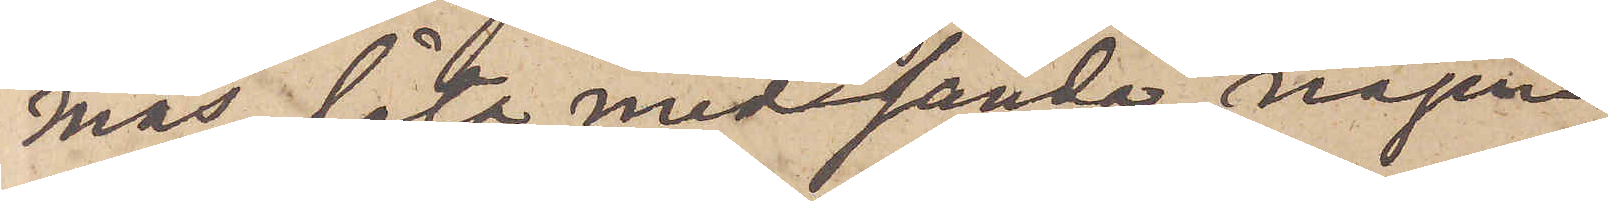mås, låta medsända någon
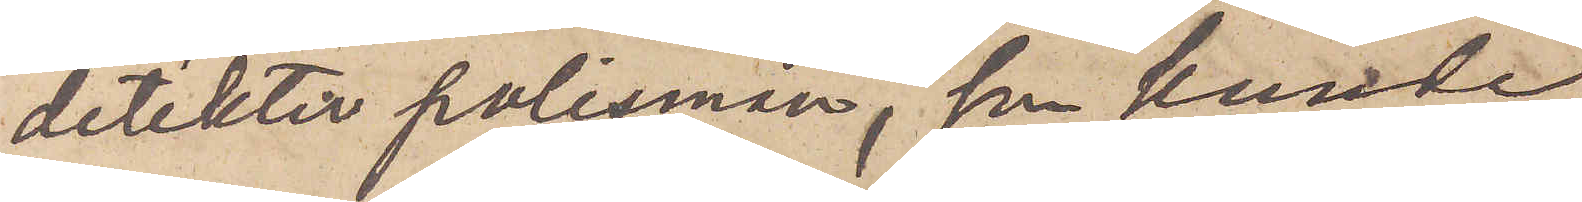detektiv polisman, som kunde
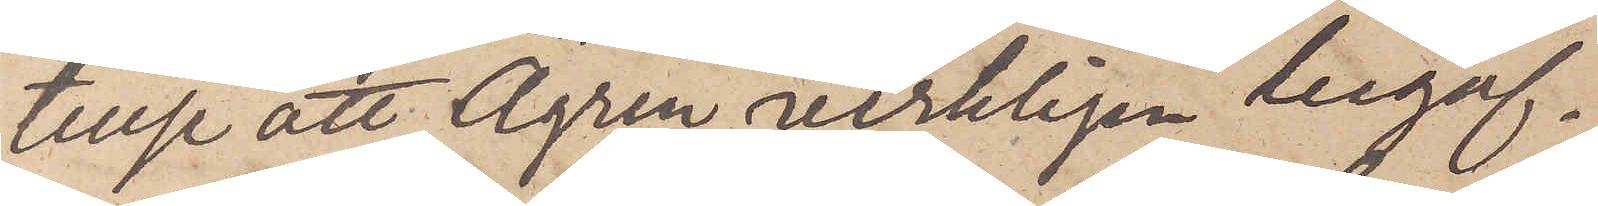tillse att Ågren verkligen begif¬
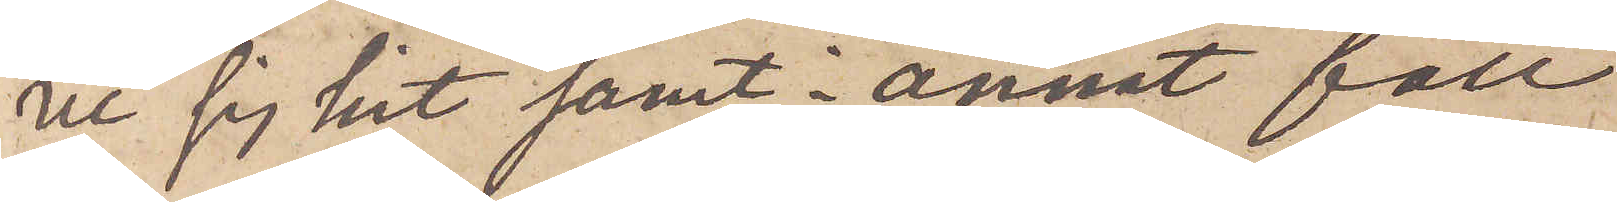er sig hit samt i annat fall
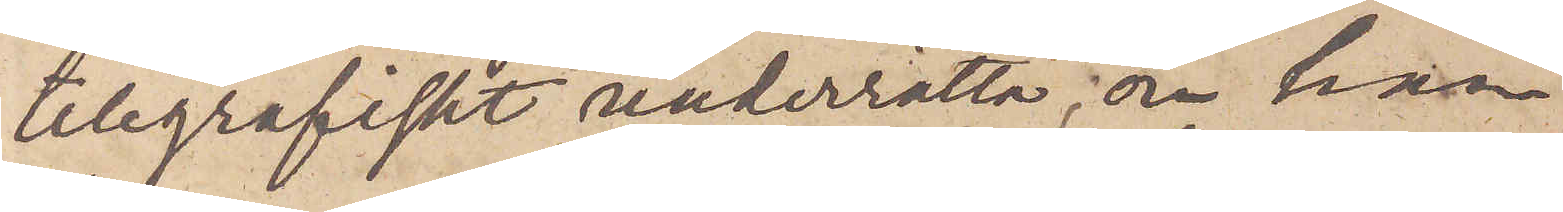telegrafiskt underrätta, om han
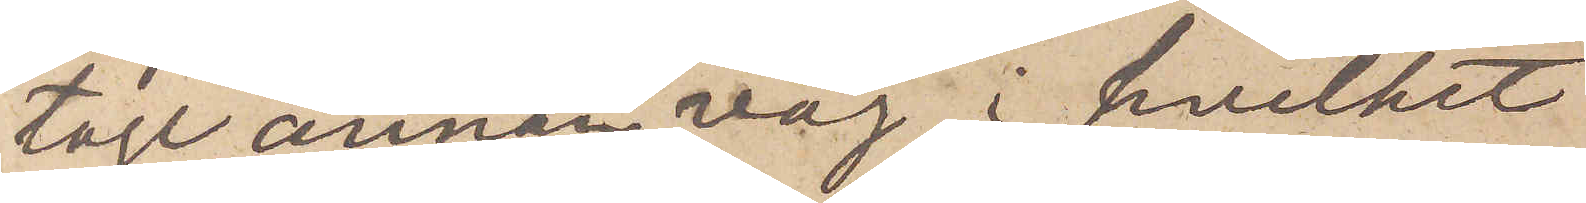toge annan väg, i hvilket
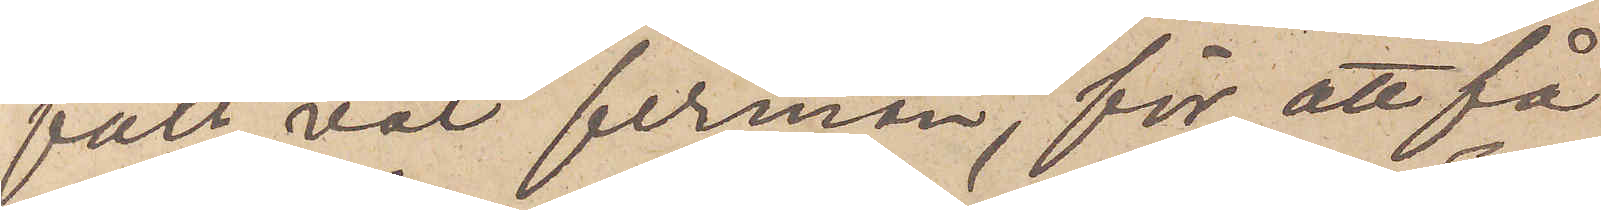fall väl firman, för att få
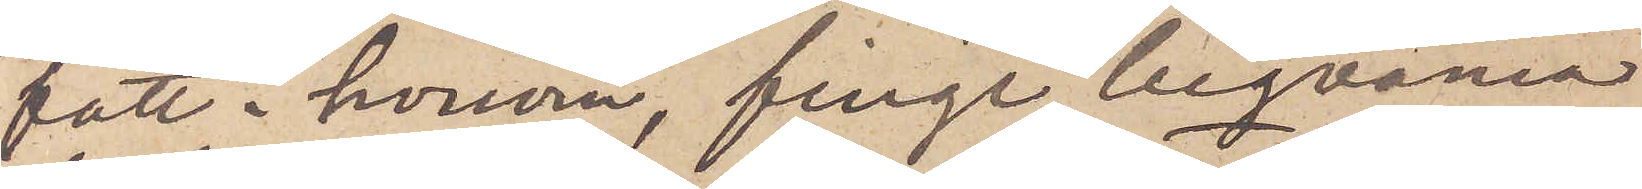fatt i honom, finge beqväma
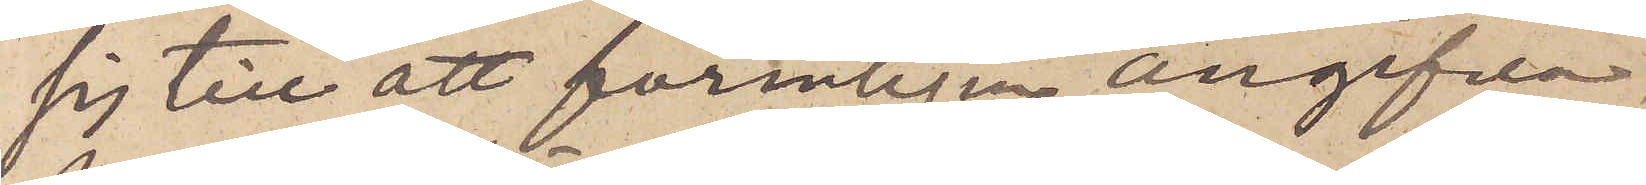sig till att formligen angifva
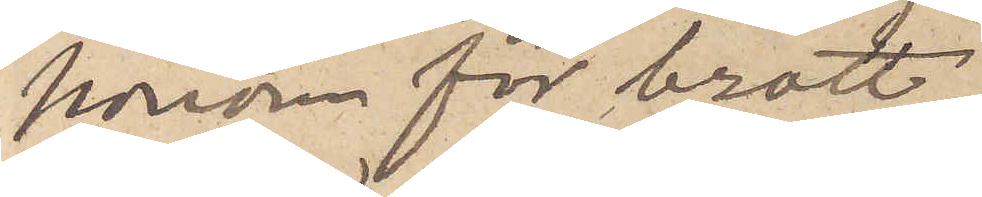honom för brott.
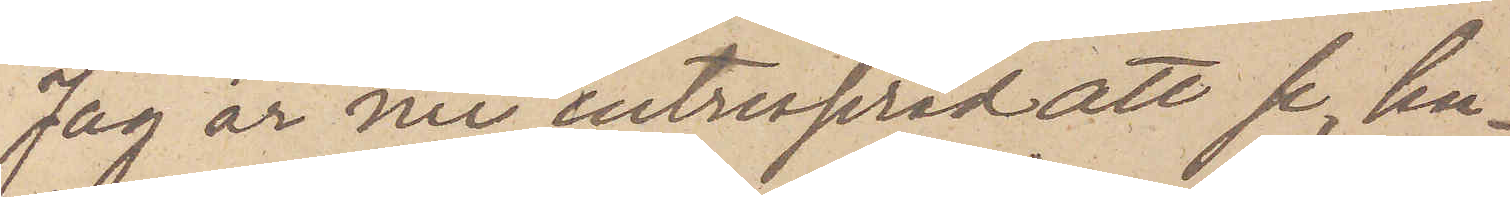Jag är nu intresserad att se, hu¬
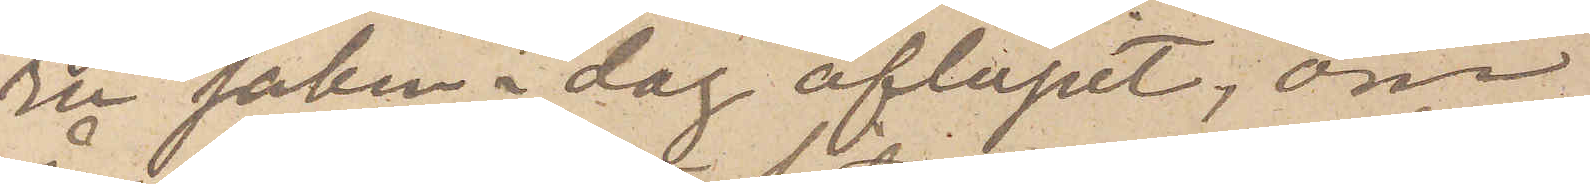ru saken i dag aflupit, om
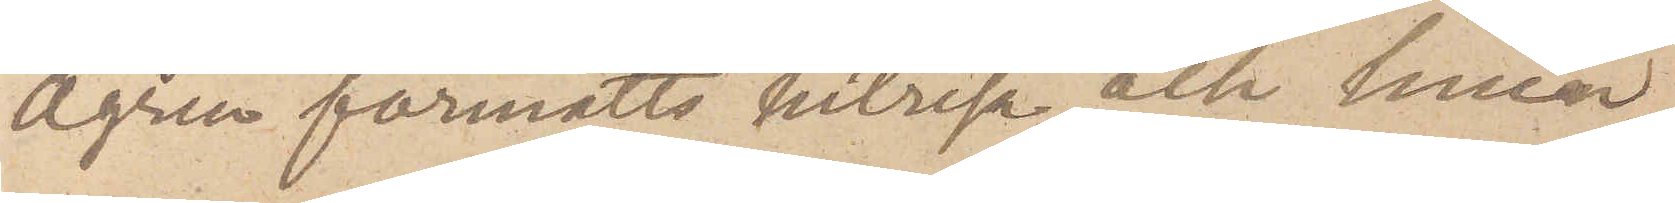Ågren förmåtts hitresa och huru
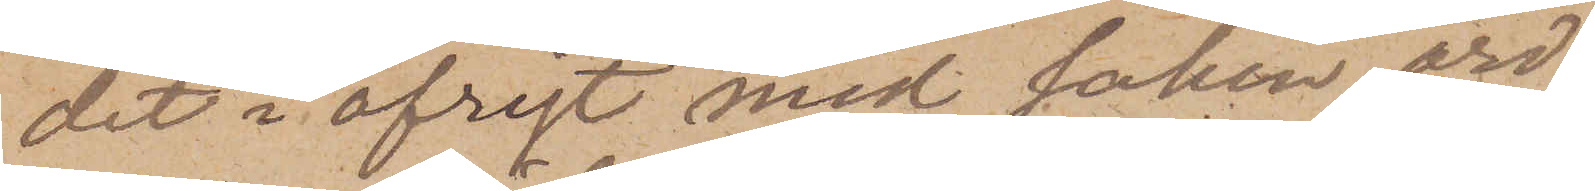det i öfrigt med saken ord¬
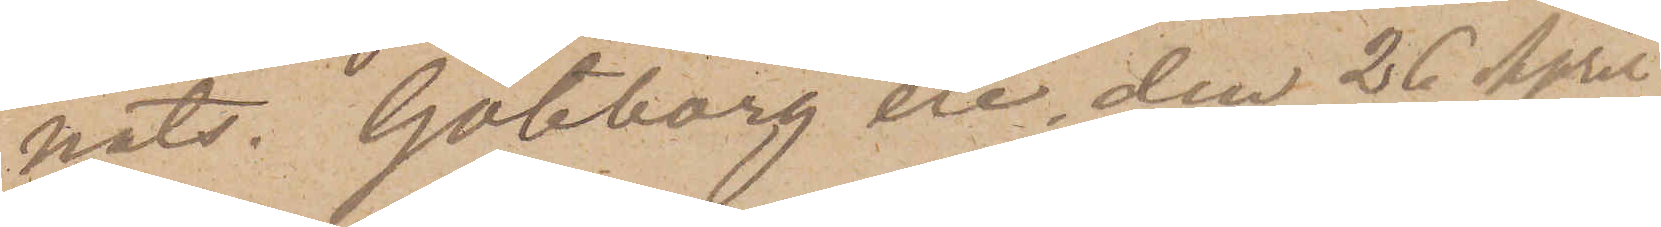nats. Göteborg etc. den 26 April
